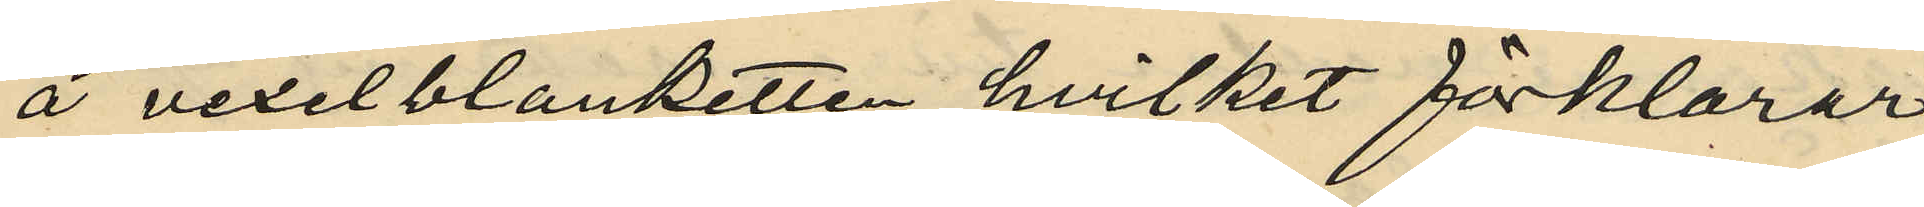å vexelblanketten, hvilket förklarar
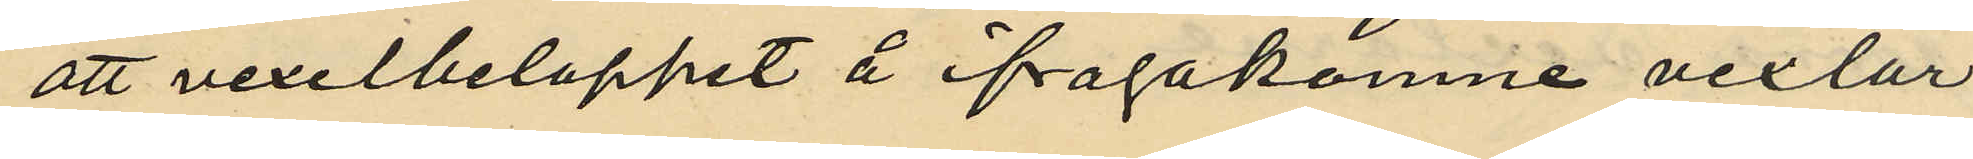att vexelbeloppet å ifrågakomne vexlar
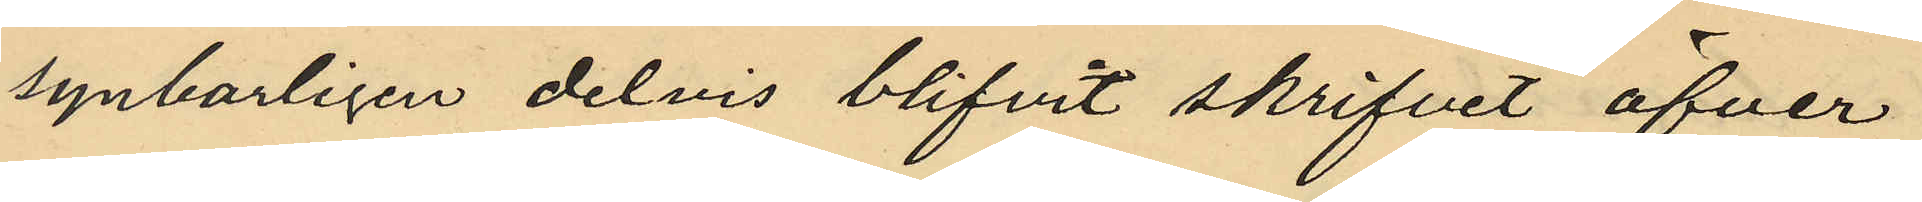synbarligen delvis blifvit skrifvet öfver
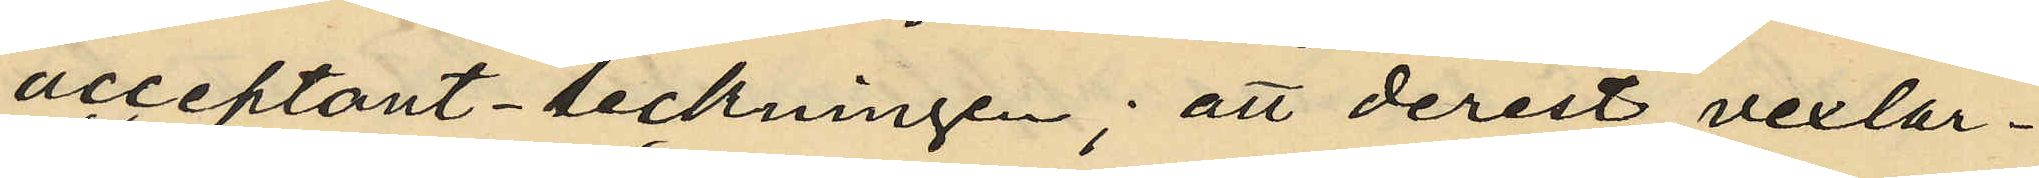acceptant-teckningen; att derest vexlar¬
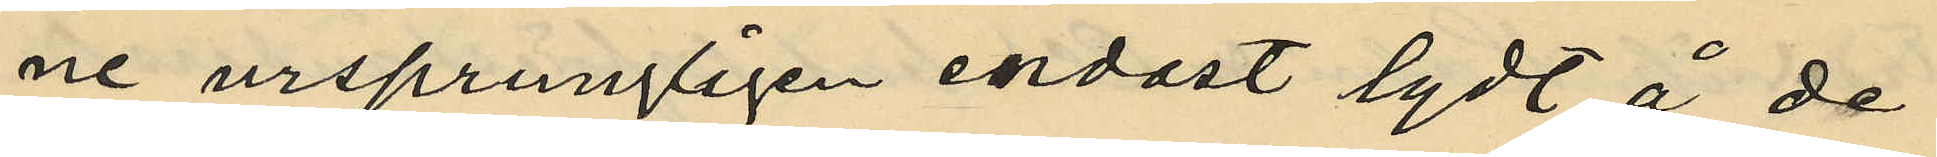ne ursprungligen endast lydt å de
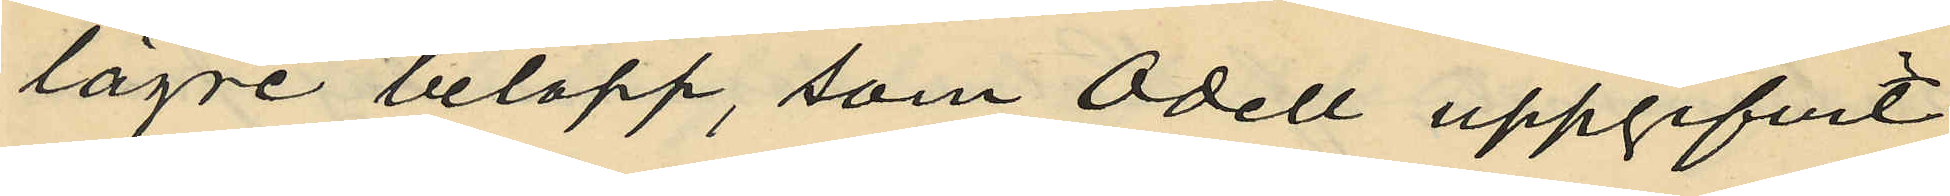lägre belopp, som Odell uppgifvit
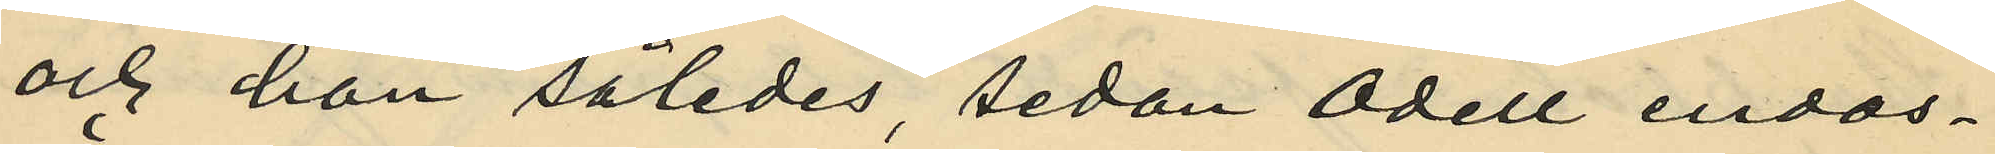och han således sedan Odell endos¬
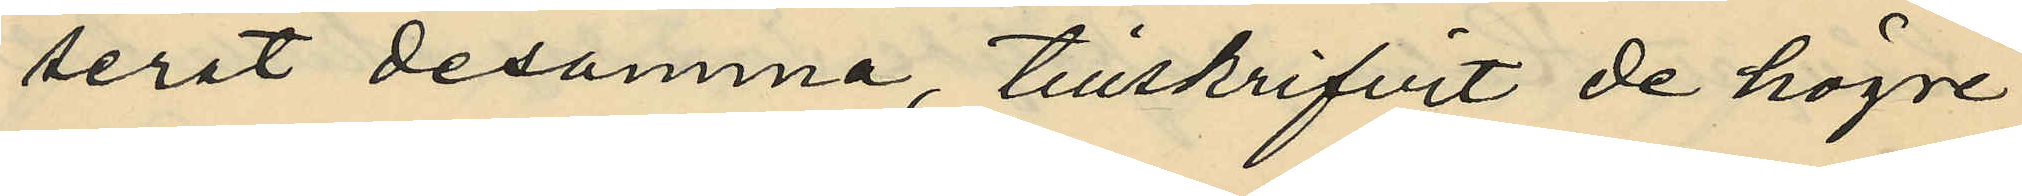serat desamma, tillskrifvit de högre
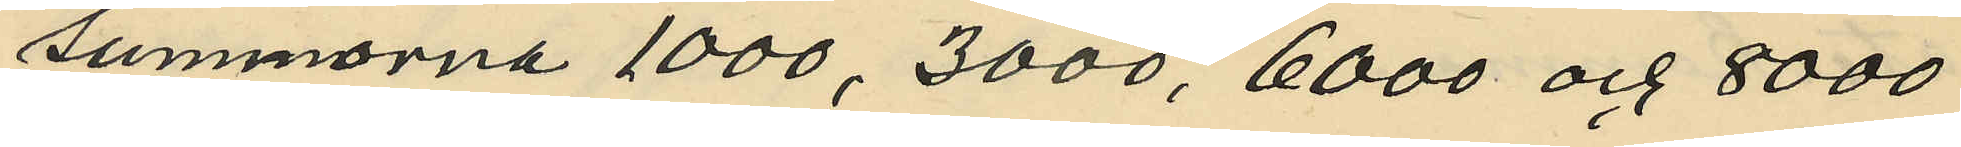summorna 1000, 3000, 6000 och 8000
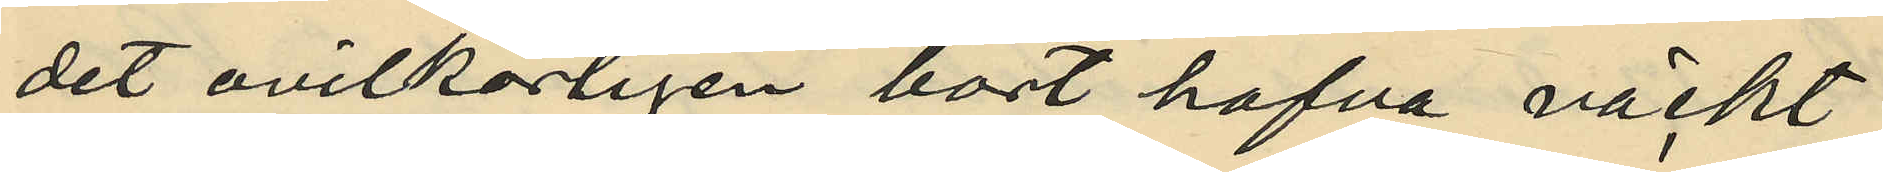det ovilkorligen bort hafva väckt
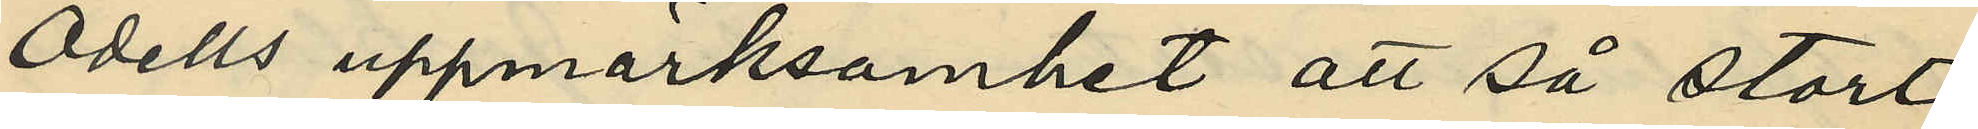Odells uppmärksamhet att så stort
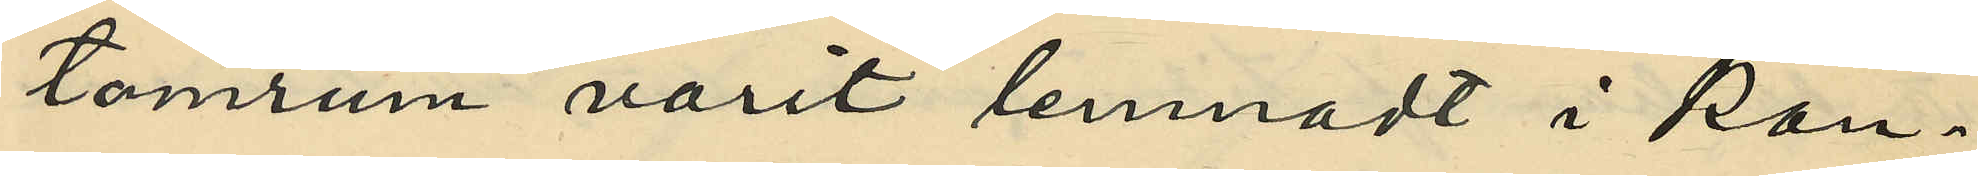tomrum varit lemnadt i kon¬
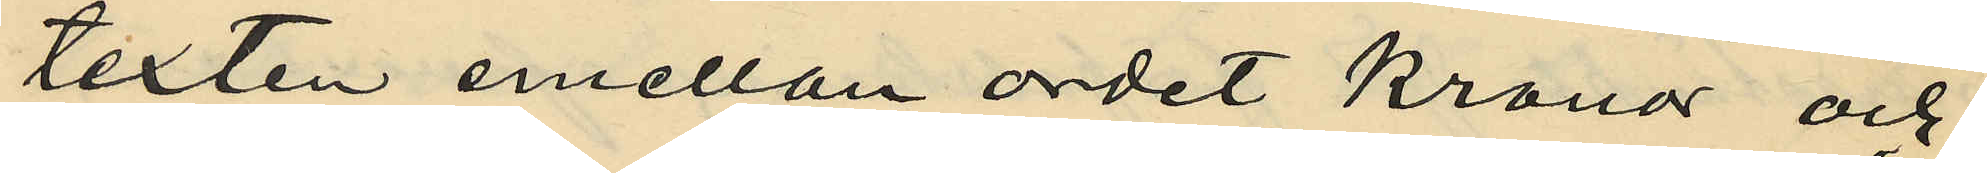texten emellan ordet Kronor och
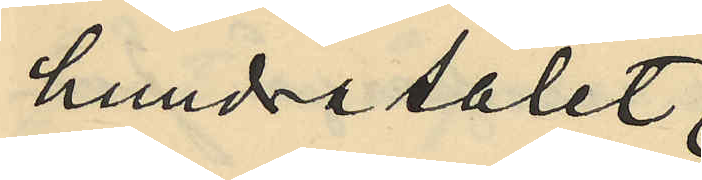hundratalet;
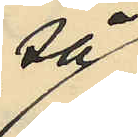så
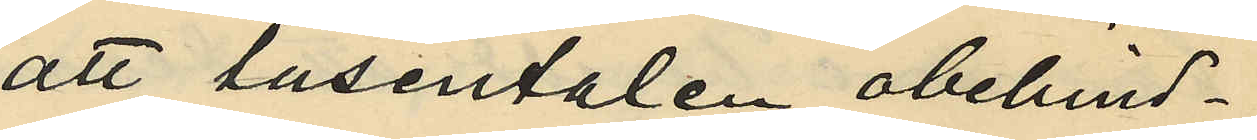att tusentalen obehind¬
